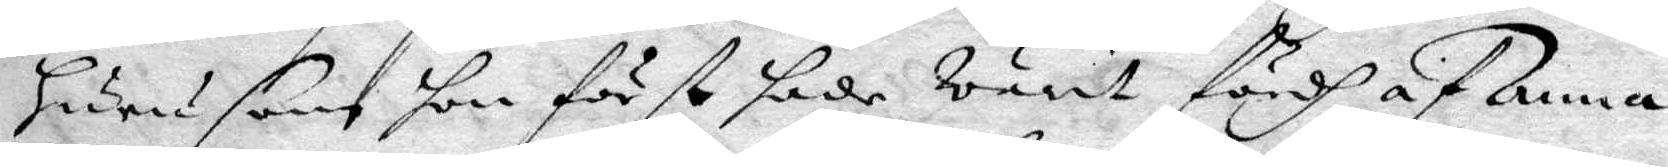hurusom hon först hade warit fördh af Anna
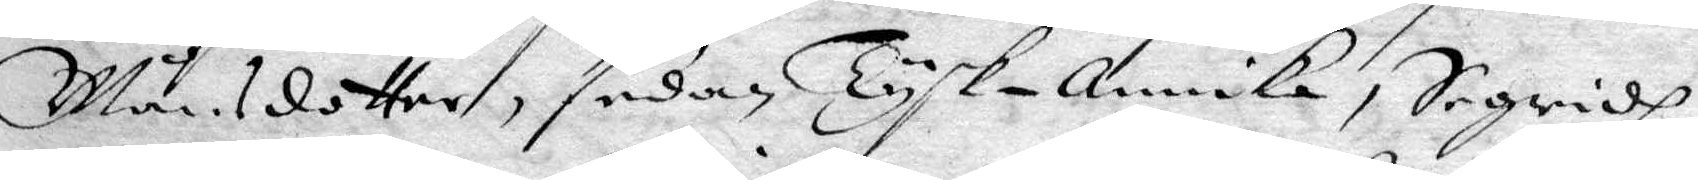Månsdotter, sedan Tysk-annika, Segridh
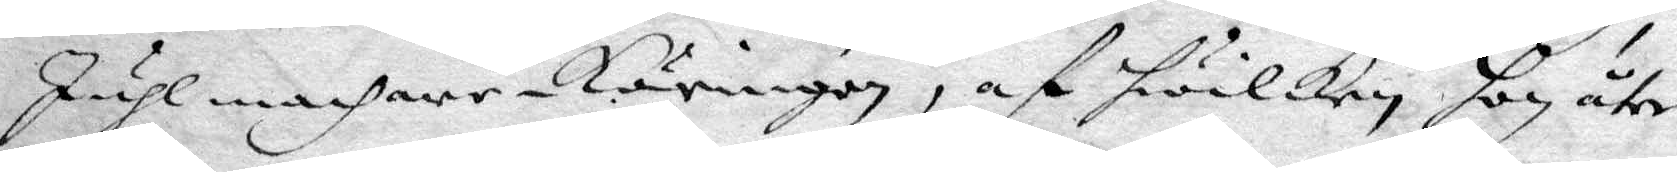Juhlmachare Käringen, af hwilken hon åter
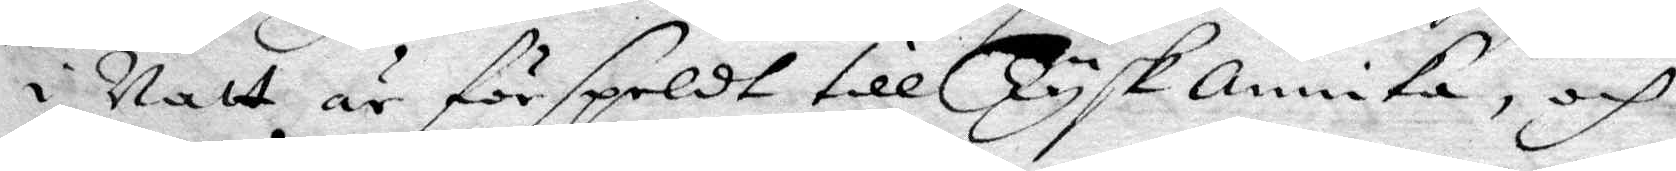i Natt är förspeldt till Tyskannika, och
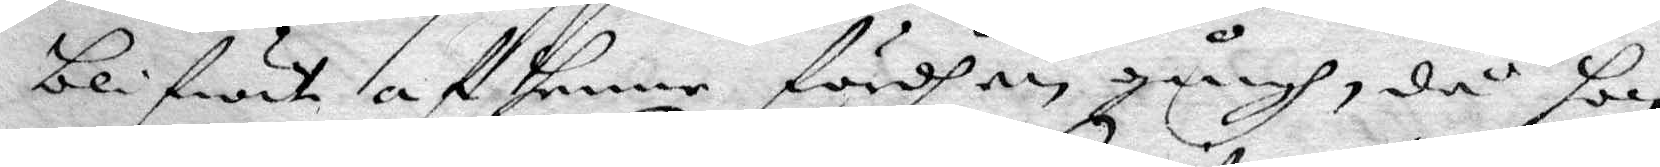blifwit af henne fördh een gångh, då hon
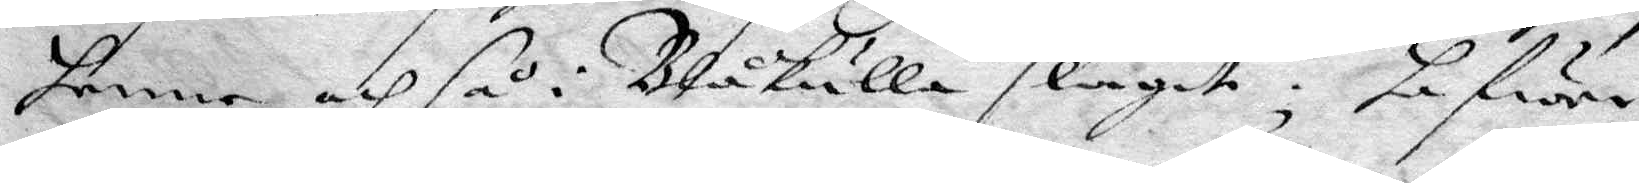henne och så i Blåkulla slagit, hafwer
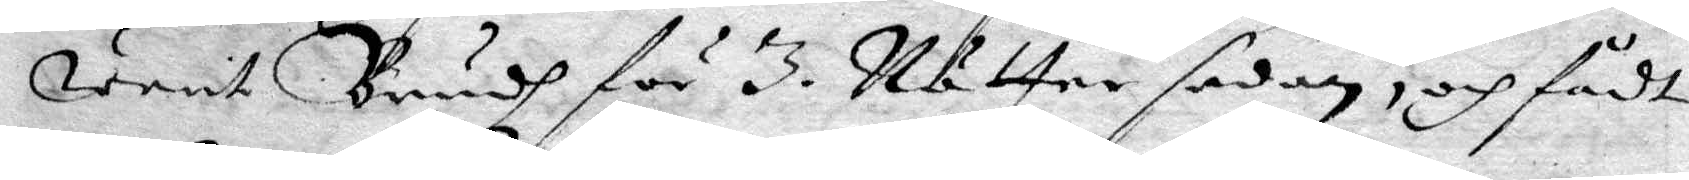warit Brudh för 3 Nätter sedan, och fådt
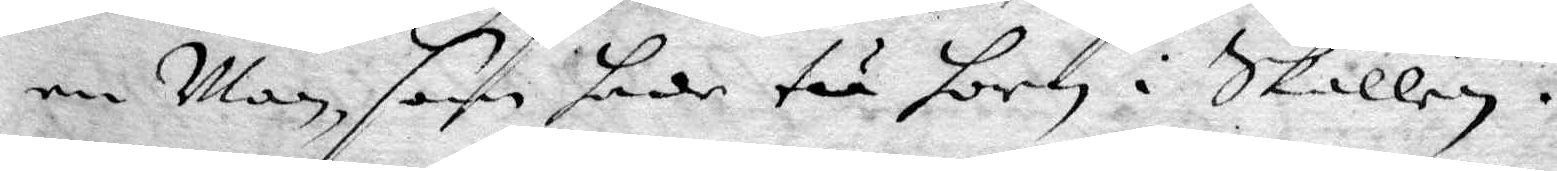en Man, som hade tå hon i skallen.
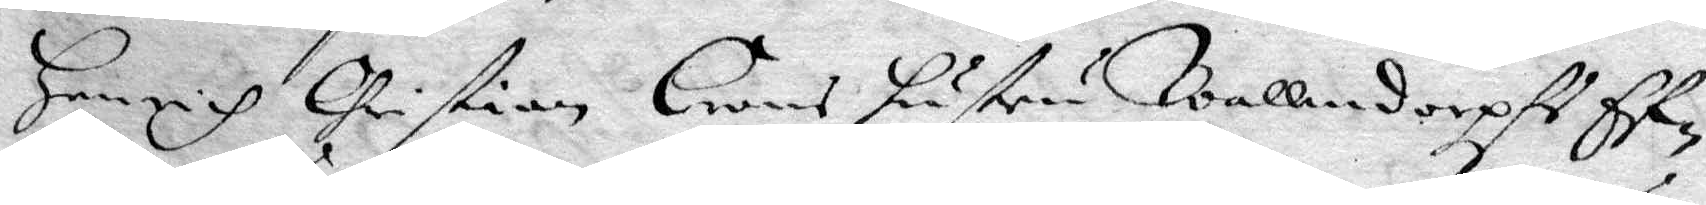Henrich Christien Trons hustru Wallendorpf E¬
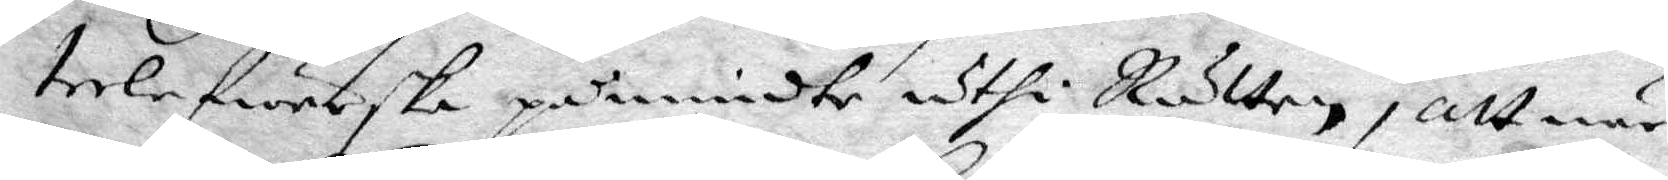terlefwerska påmindte uthi Rätten, att när
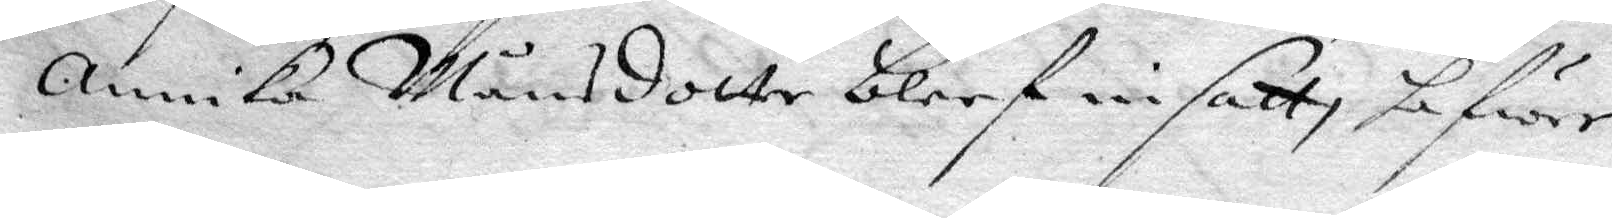Annika Månsdotter bleef insatt, hafwer
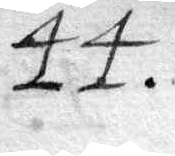44.
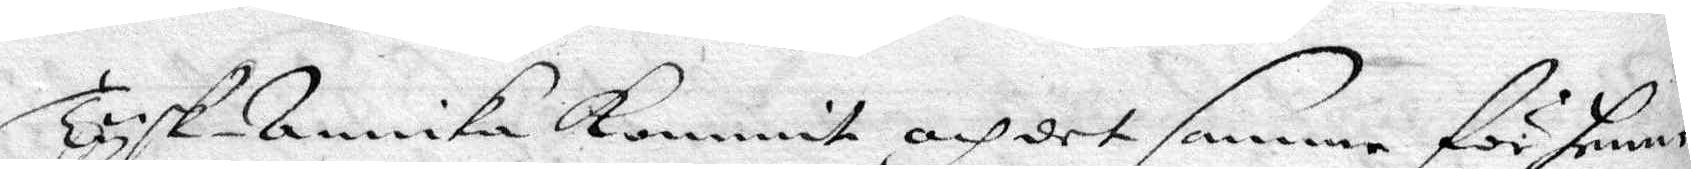Tysk- Annika kommit och det samme för henne
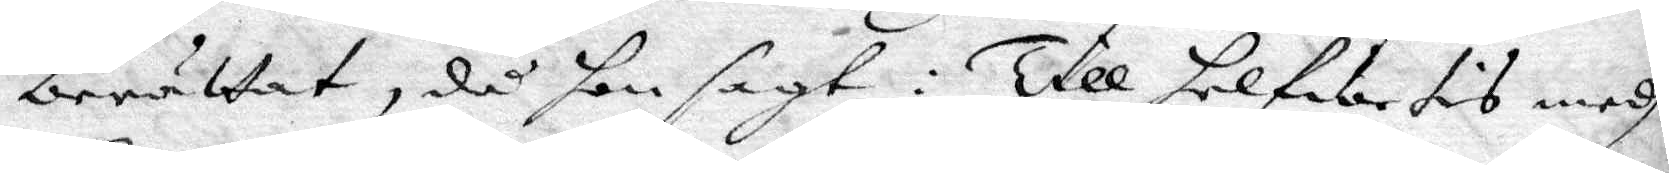berättat, då hon sagt: Till helfwetit medh
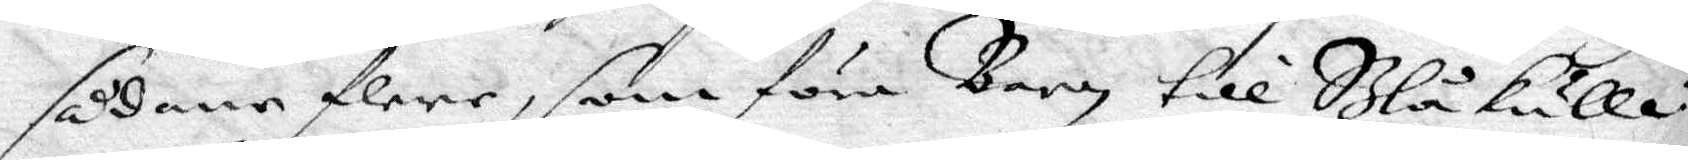sådane flere, som föra Barn till Blåkulla:
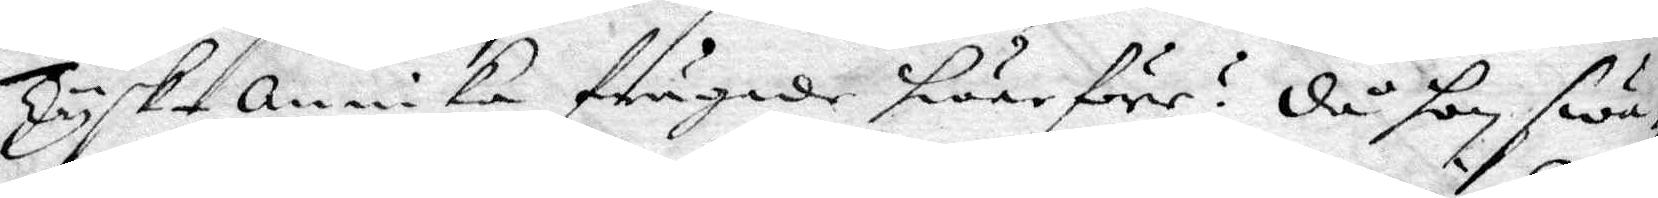Tysk-Annika frågade hwarföre? då hon swa¬
